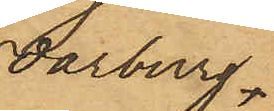Warburg
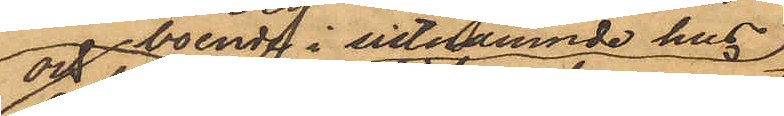och boende i sistnnämnde hus,
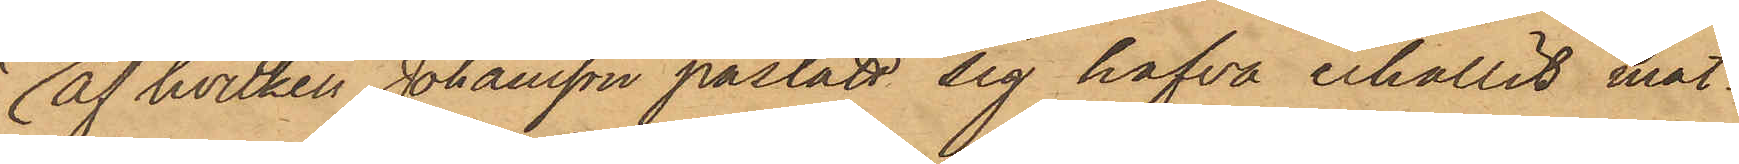af hvilken Johansson påstått sig hafva erhållit mat¬
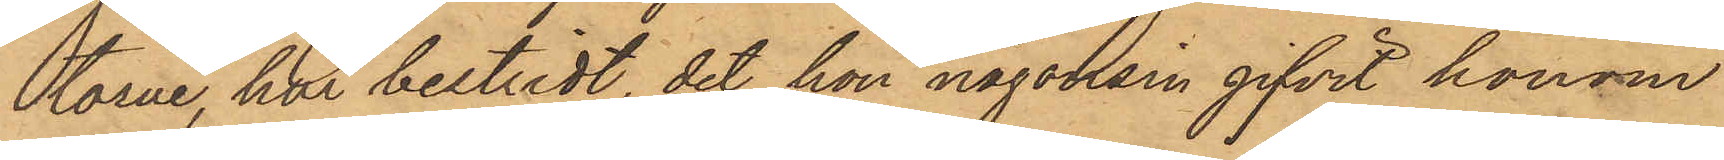torne, har bestridt, det hon någonsin gifvit honom
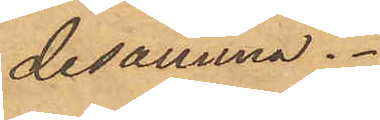desamma.
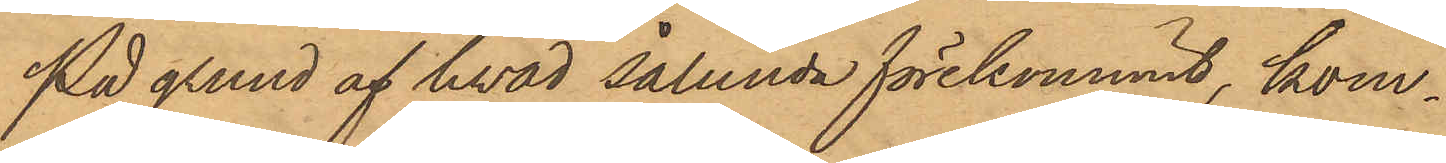På grund af hvad sålunda förekommit, kom¬
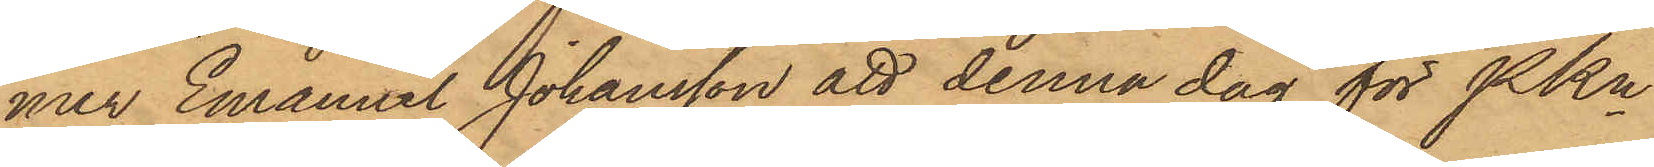mer Emanuel Johansson att denna dag för PKn
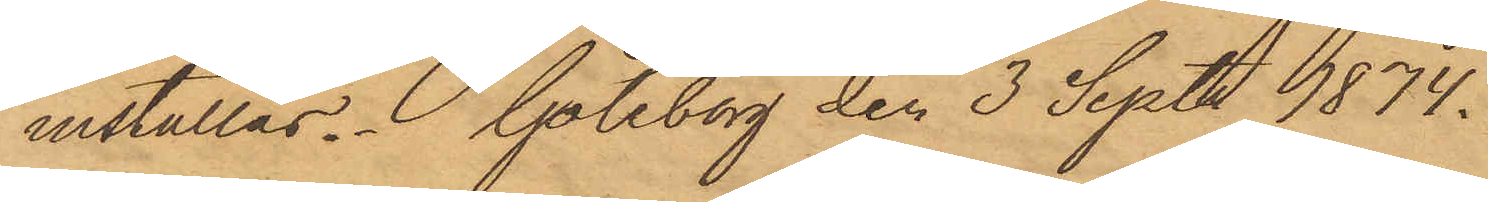inställas. Göteborg den 3 Sept 1874.
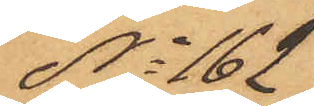No 162
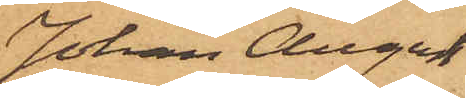Johan August
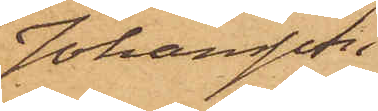Johansson
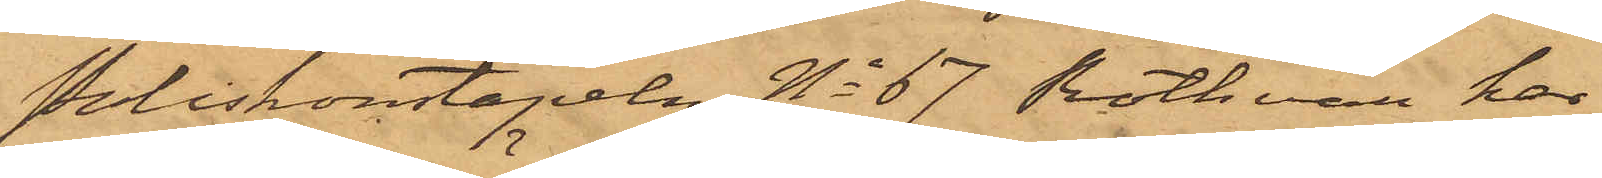Poliskonstapeln No 67 Rothman har
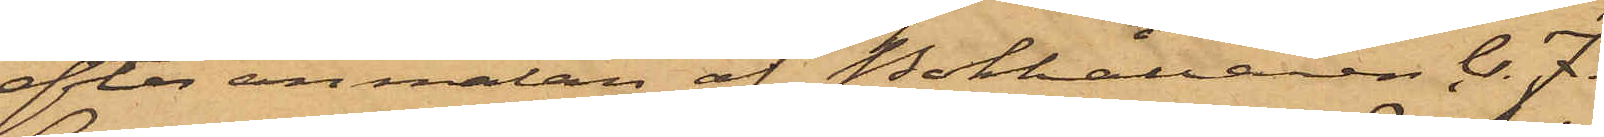efter anmälan af Bokhållaren C. J.
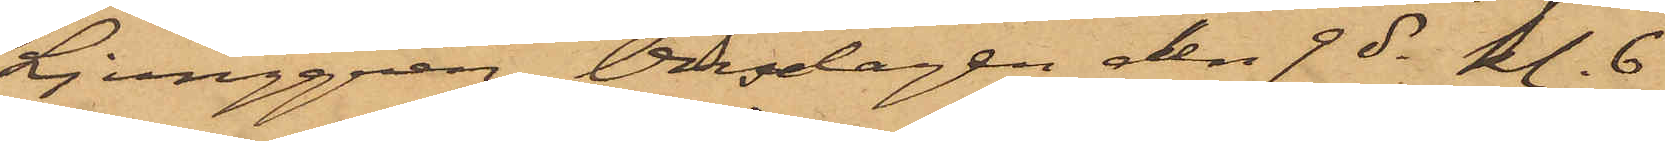Ljunggren, Onsdagen den 9 ds kl. 6
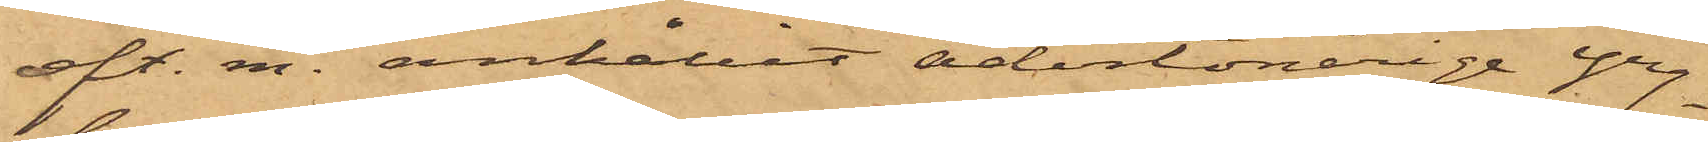eft. m. anhållit adertonårige Yng¬
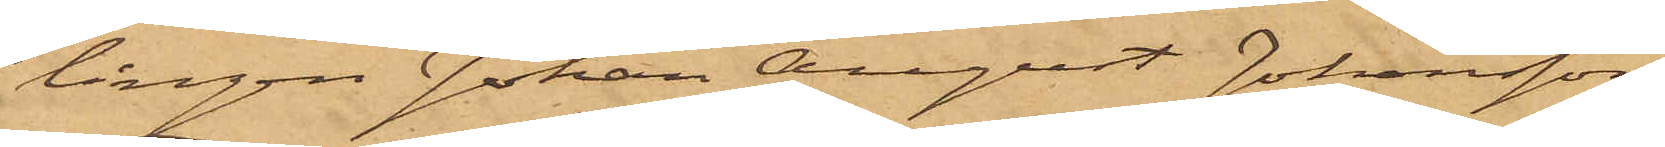lingen Johan August Johansson,
